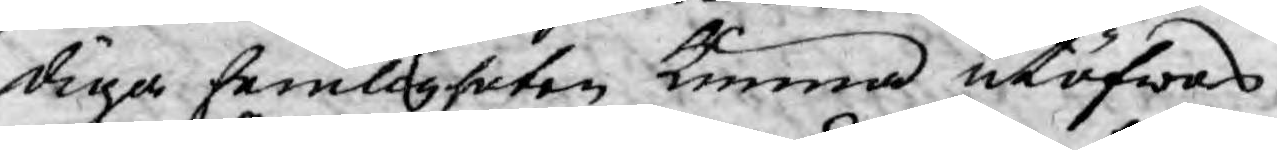diga hemligheten kunna utöfwas.
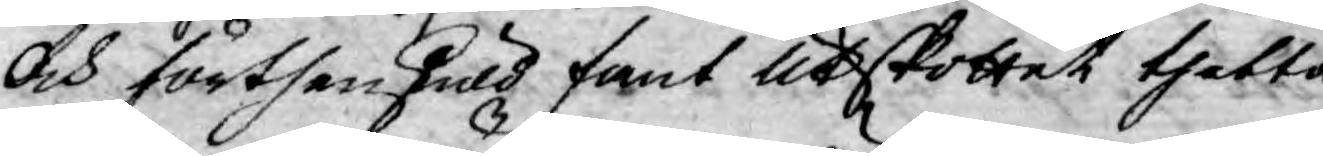Och förthenskuld fant Utskottet thetta
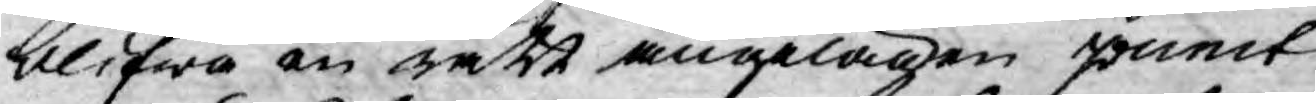blifwa en rätt angelägen punct
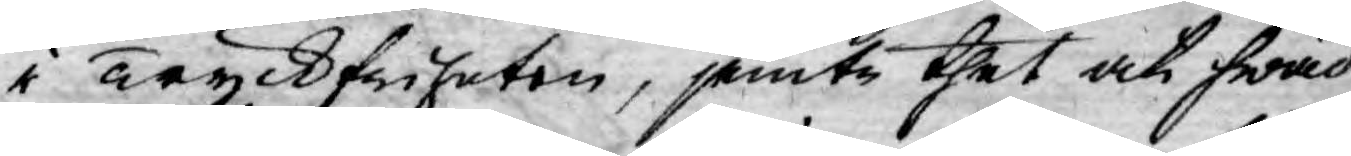i Tyckfriheten, jemte thet at hwad
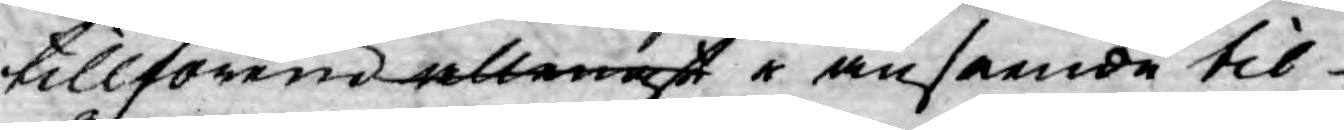tillförene allenast i anseende til
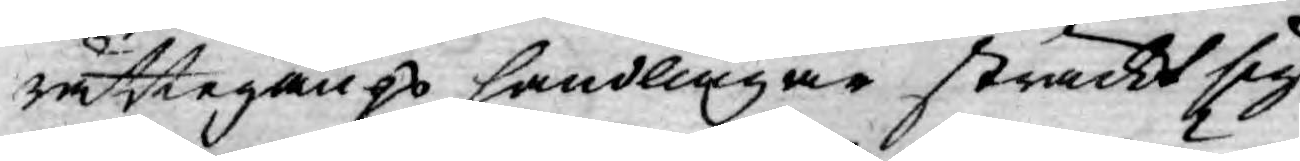rättegångs handlingar sträckt sig
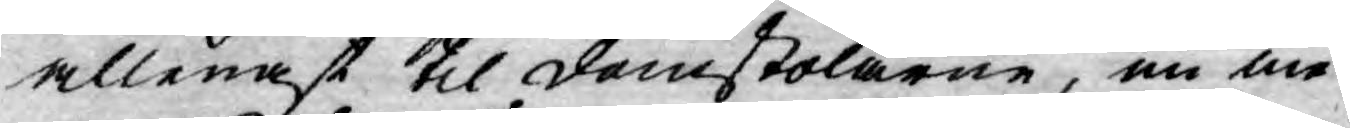allenast til domstolarne, nu me¬
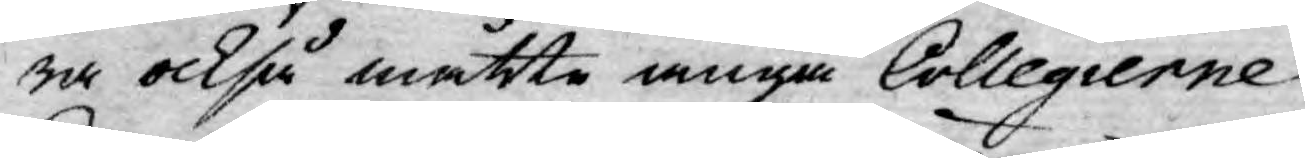ra också måtte angå Collegierne,
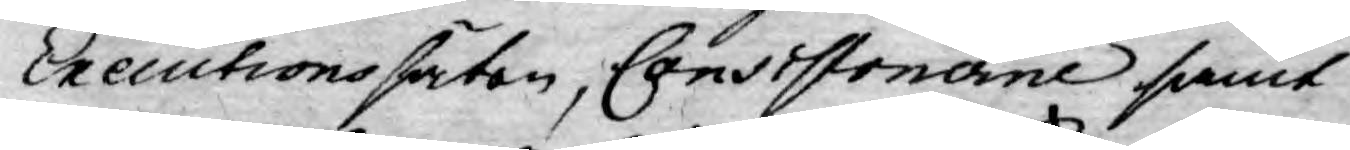Executions säten, Consistonerne samt
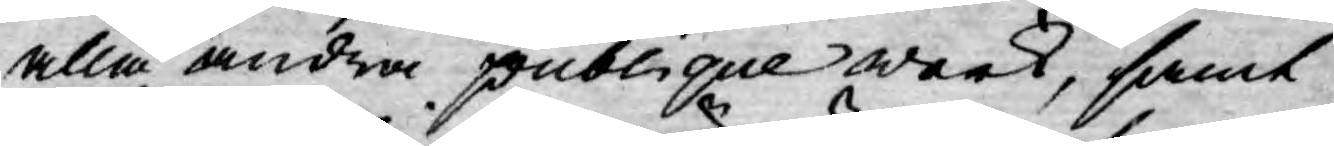alla andra publique werk, samt
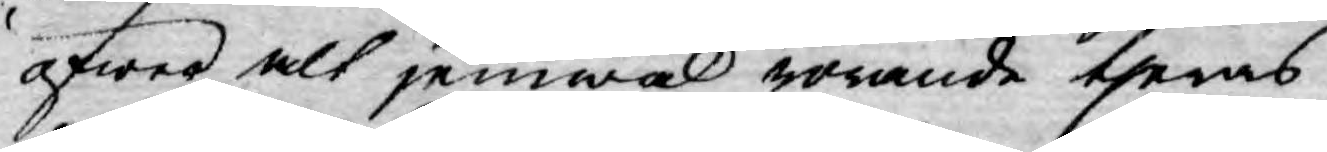öfwer alt jemwäl rörande theras
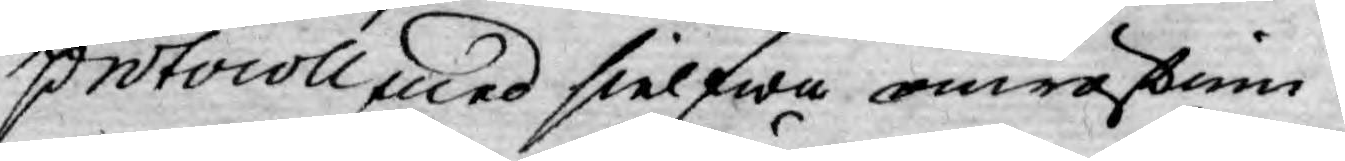protocoll med sielfwa omröstnin¬
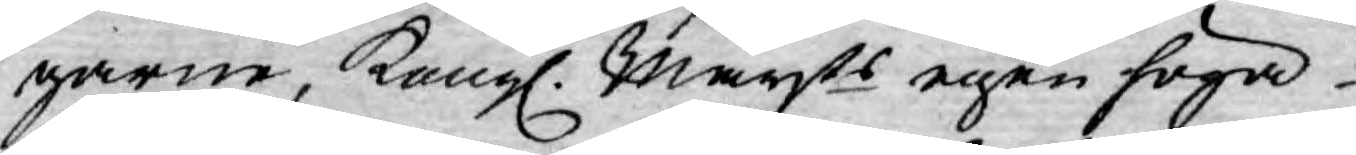garne, Kongl. Mayts egen höga
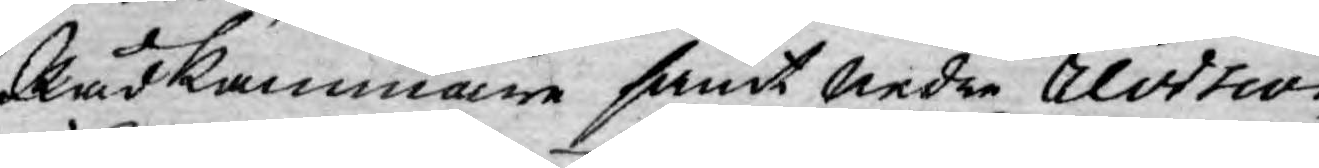Rådkammare samt Nedre revision
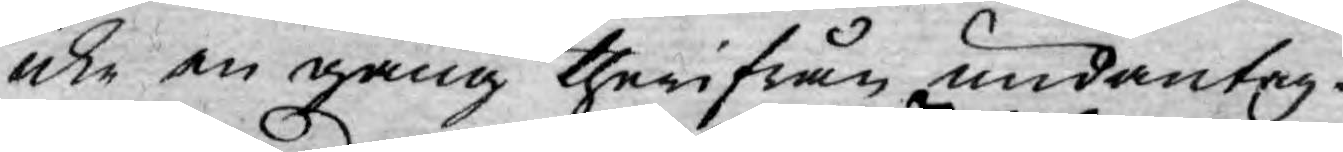icke en gång therifrån undantag¬
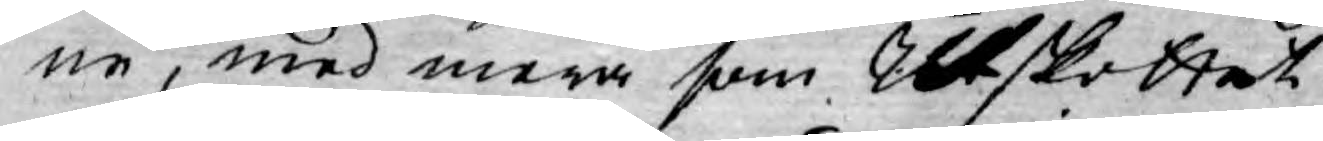ne, med mera som Utskottet
